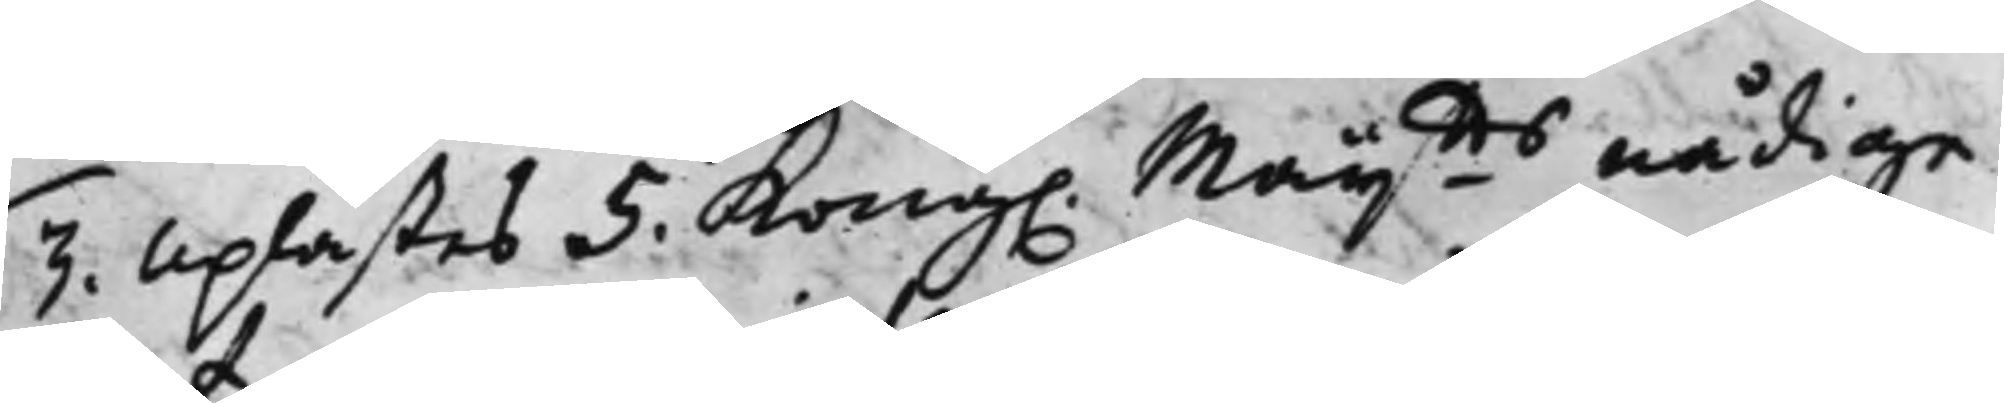3. Uplästes 5. Kong. Maijtts nådige
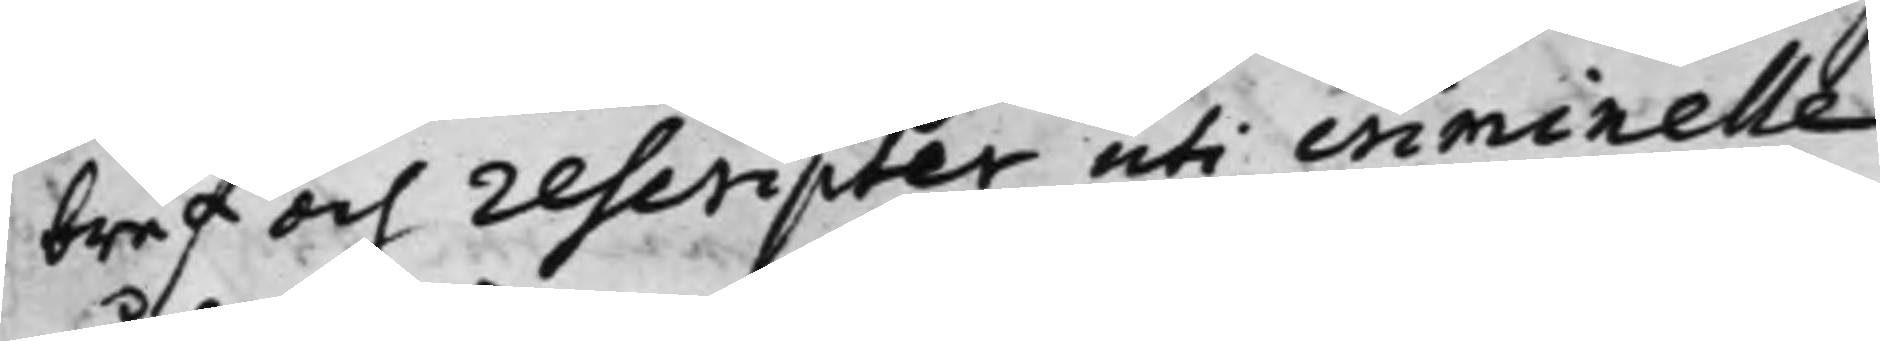bref och rescripter uti criminelle
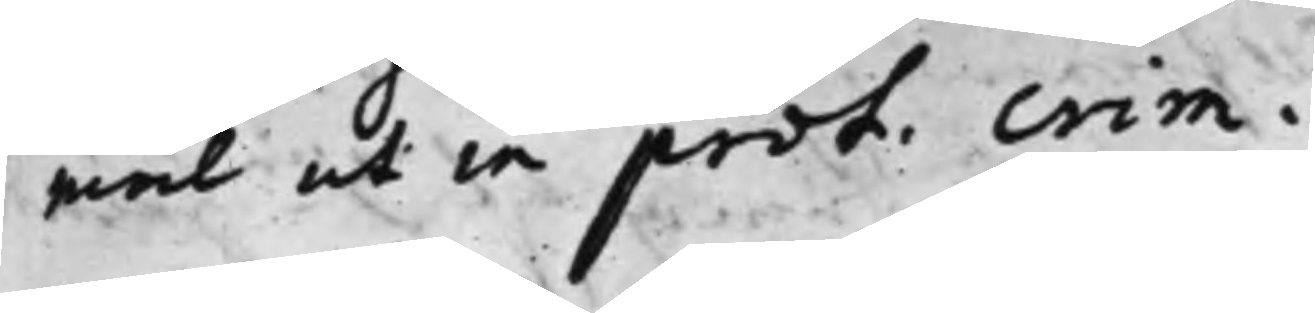mål ut in prot. crim.
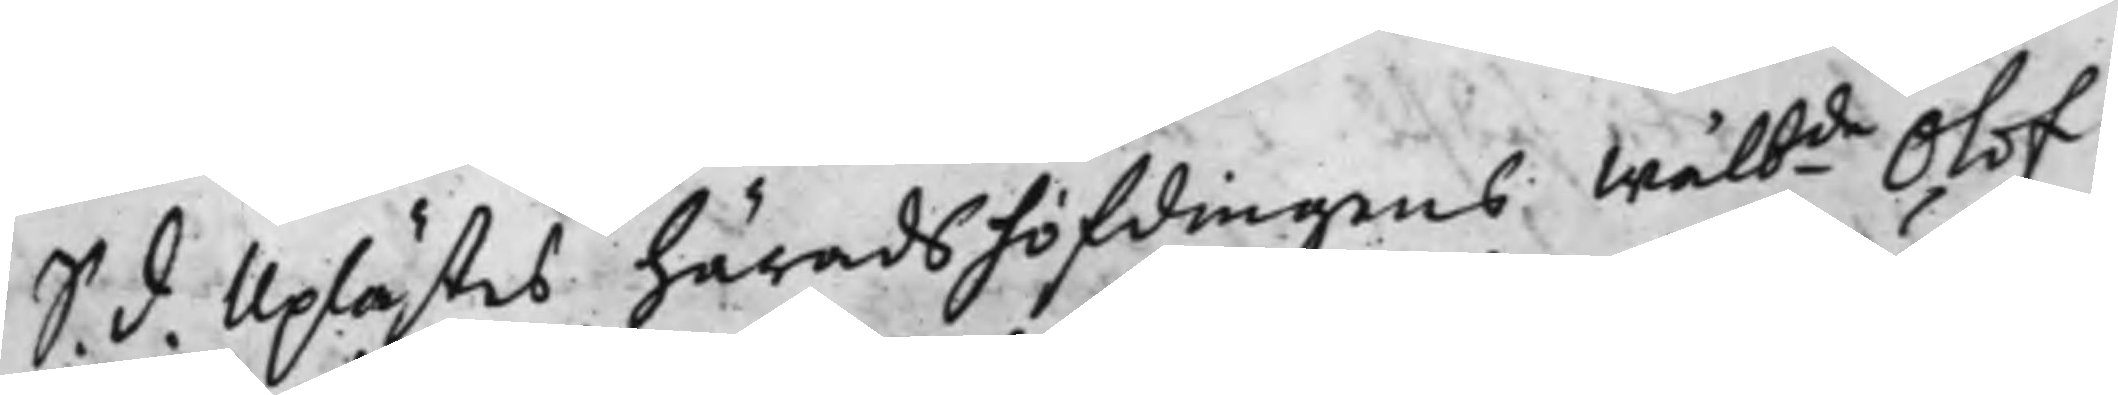S. d. Uplästes Häradshöfdingens Wälbde Olof
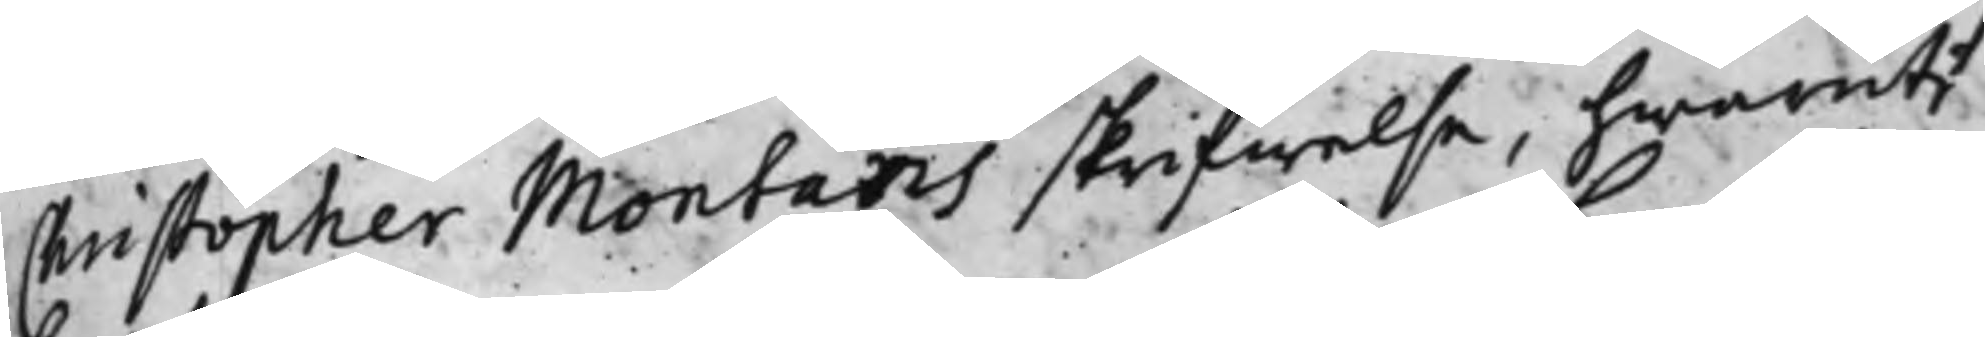Christopher Montans skrifwelse, hwaruti
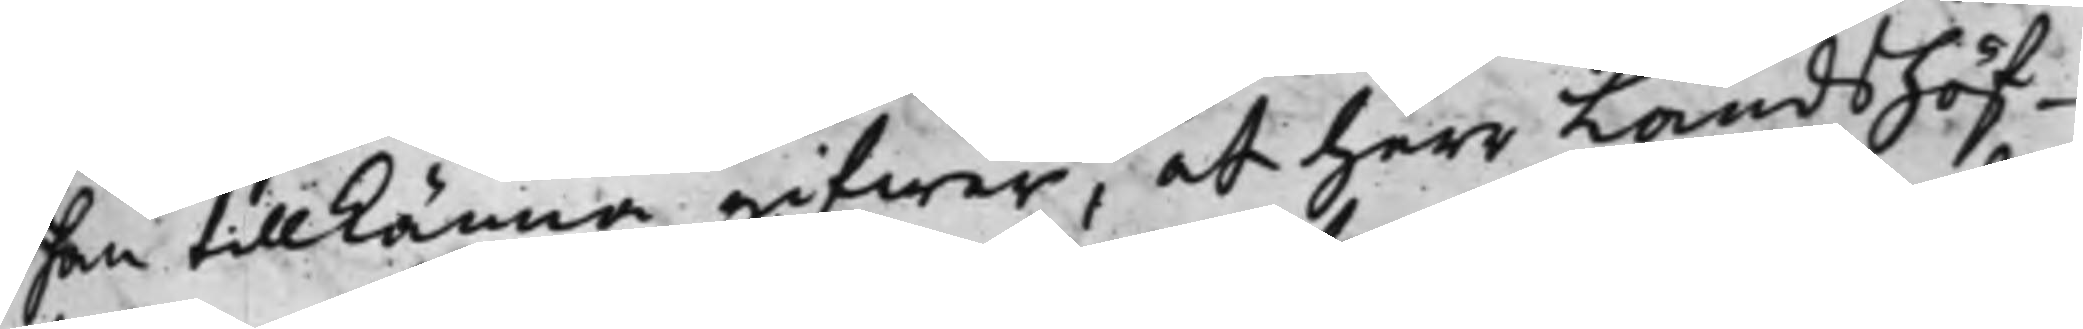han tillkänna gifwer, at herr Landshöf¬
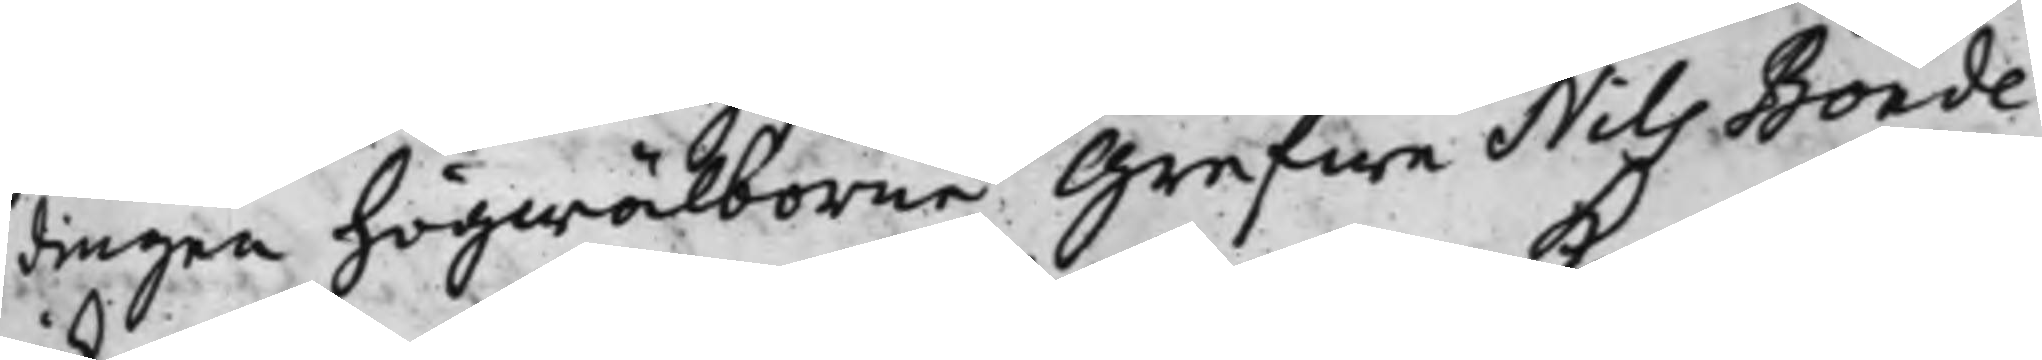dingen högwälborne Grefwe Nils Bonde
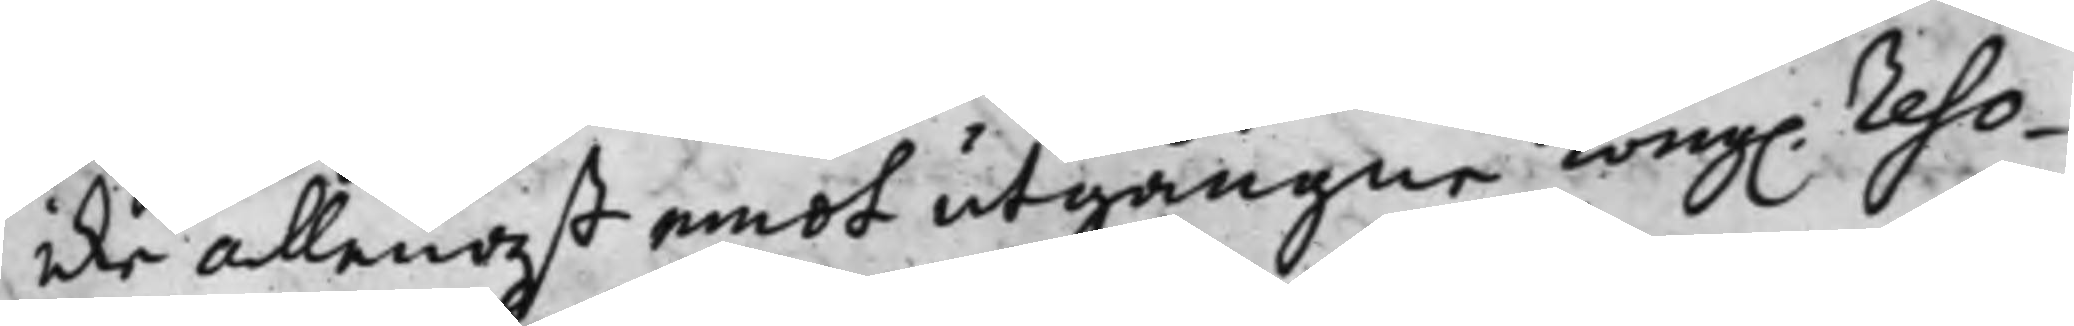icke allenast emot utgångne Kong. Reso¬
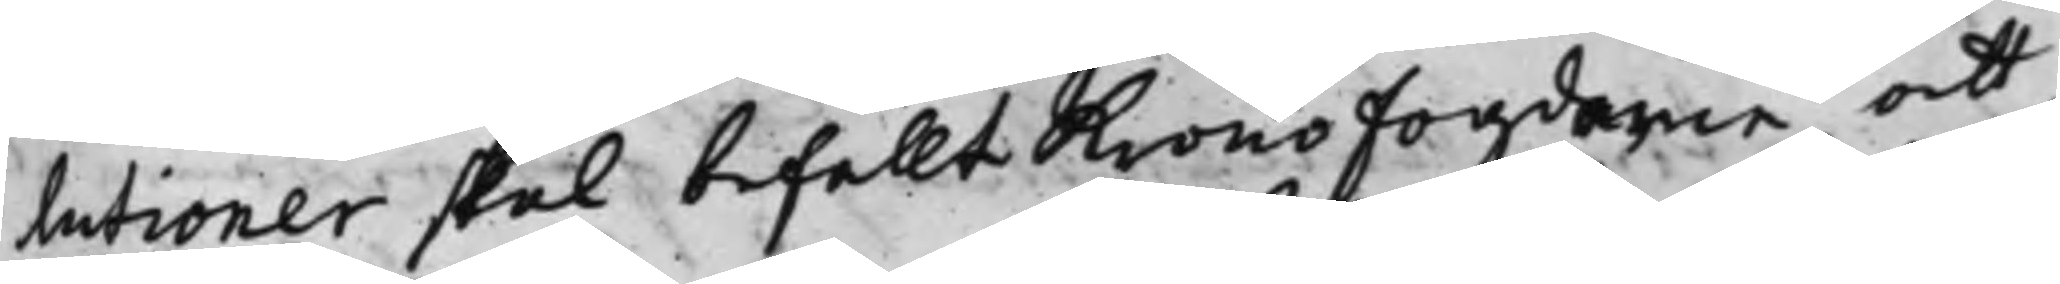lutioner skal befallt Kronofogdarne att
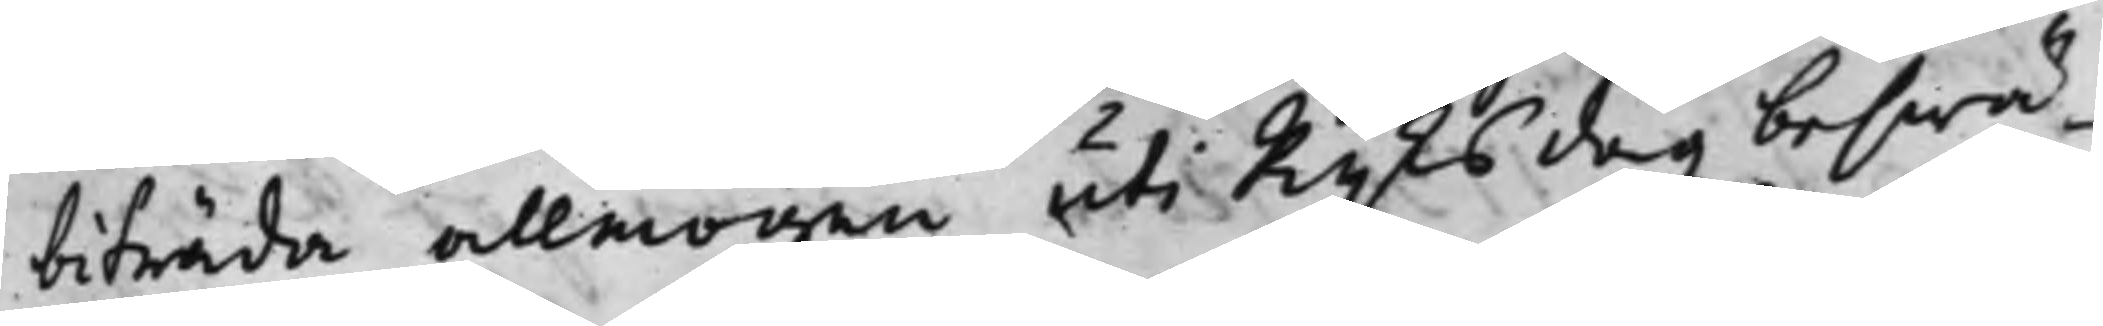biträda allmogen uti Rijksdagz beswä¬
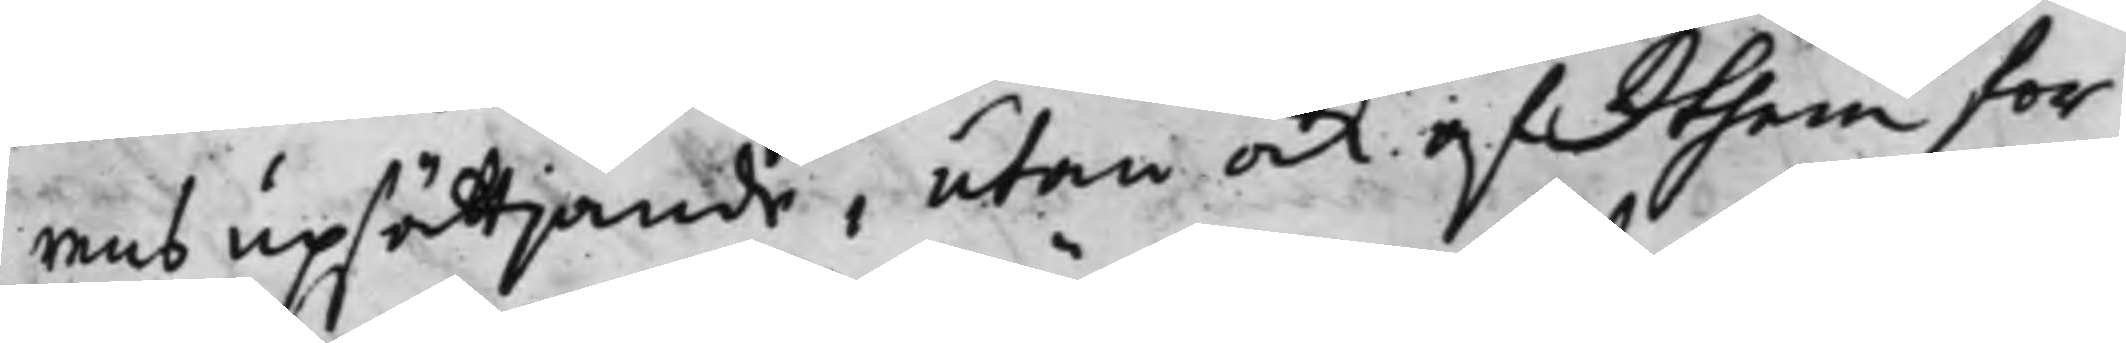rens upsättjande, utan och af them for¬
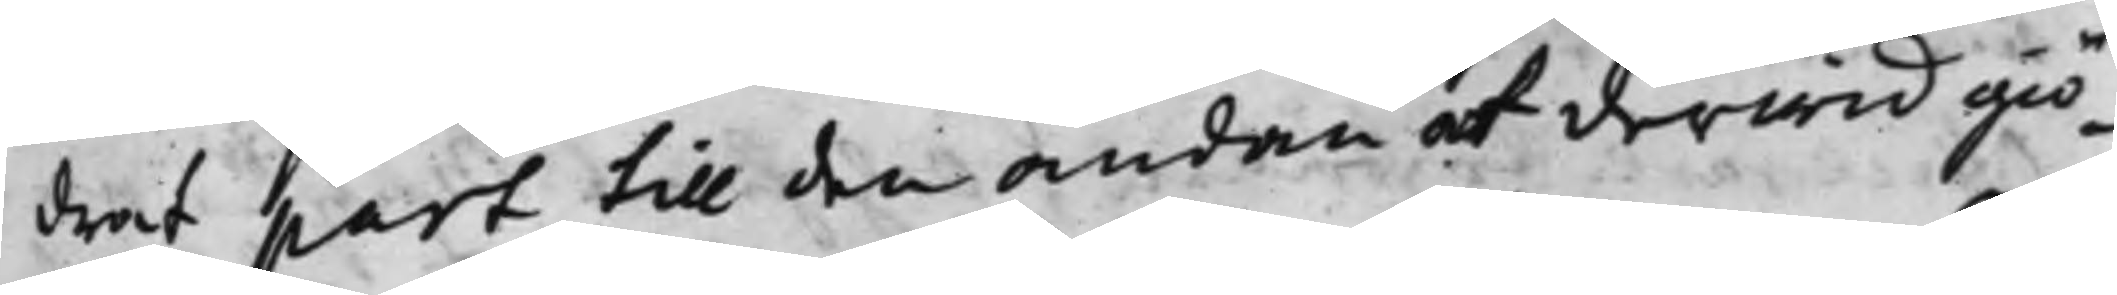drat part till den ändan at derwid giö¬
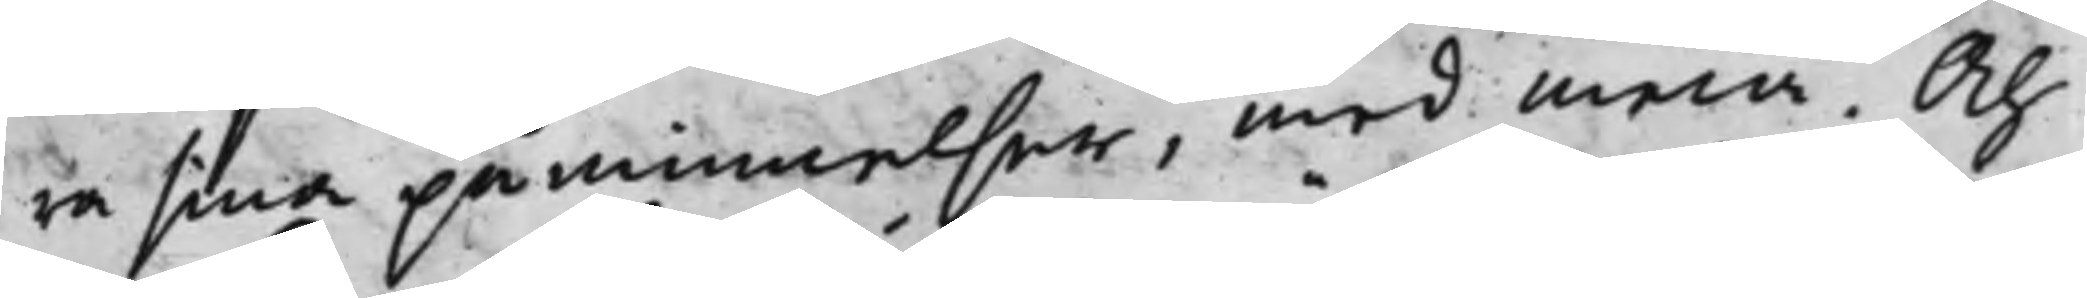ra sina påminnelser, med mera. Och
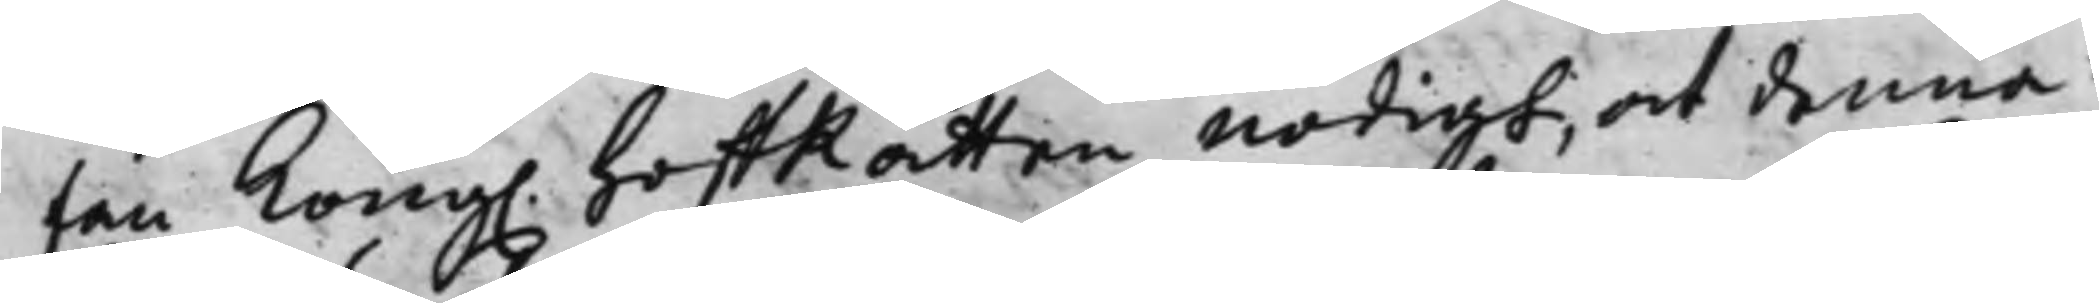fan Kong. HoffRätten nödigt, at denna
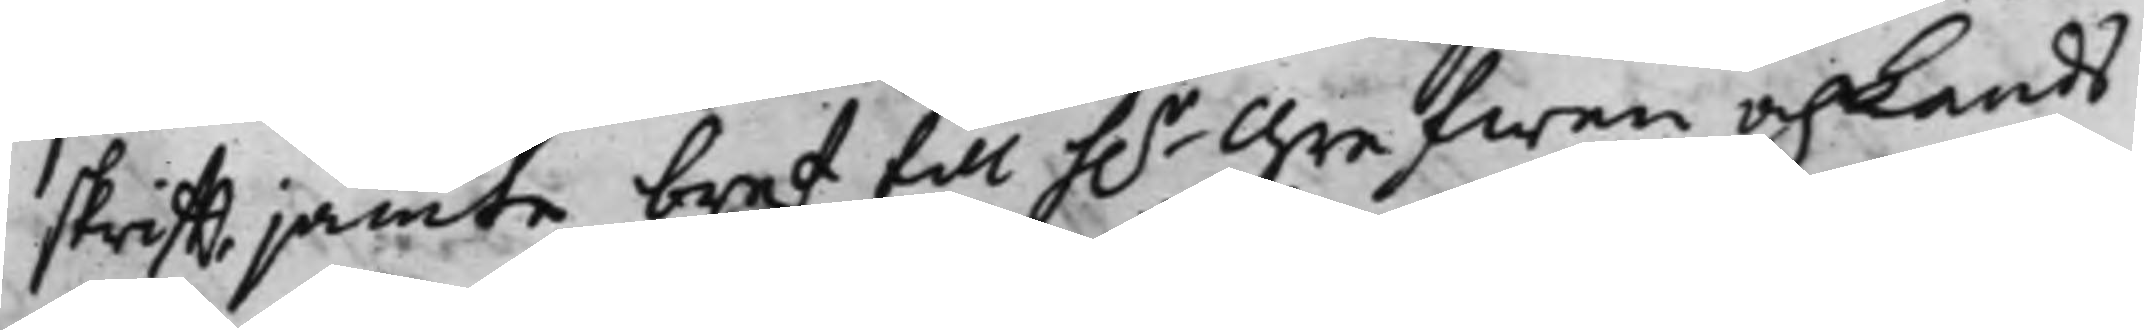skrifft jämte bref till h.r Grefwen och Lands¬
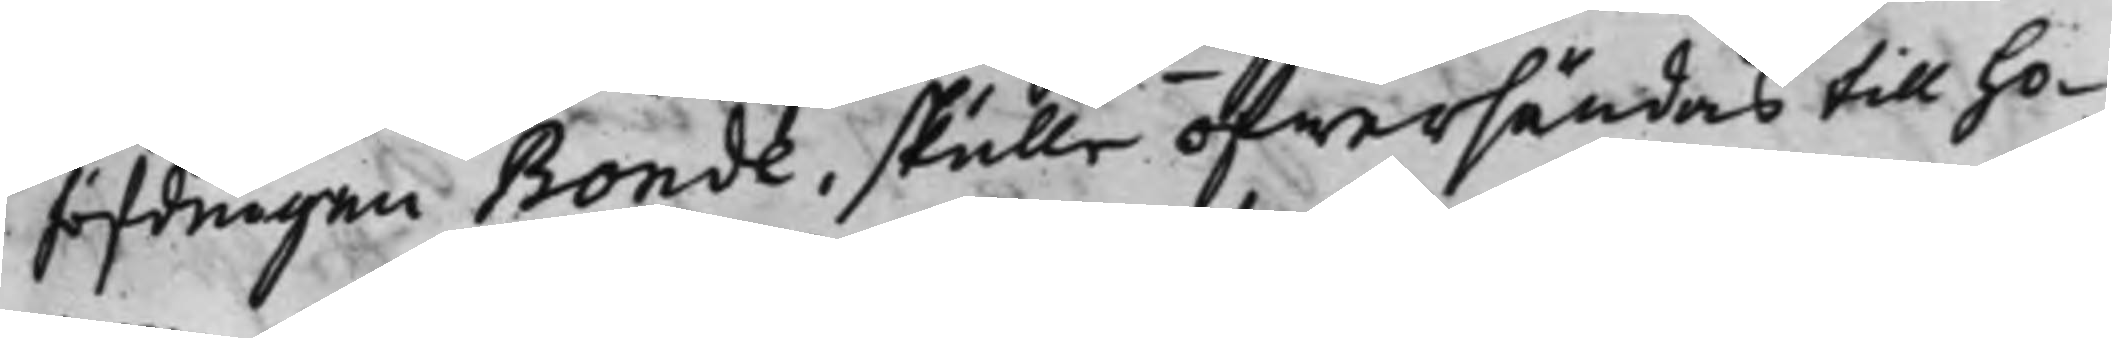höfdingen Bonde, skulle öfwersändas till ho¬
